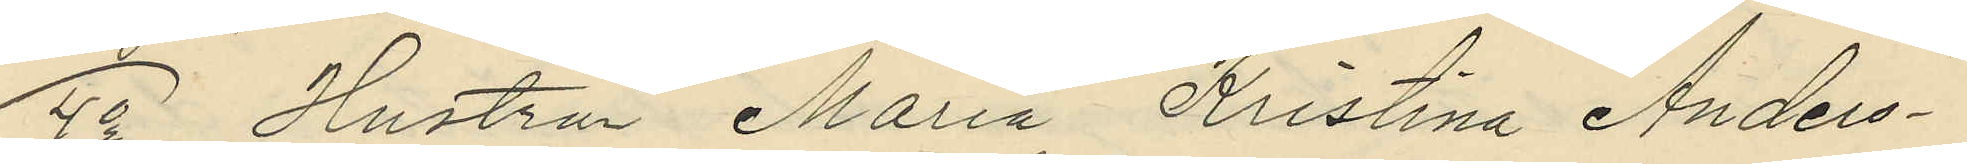4o Hustru Maria Kristina Anders¬
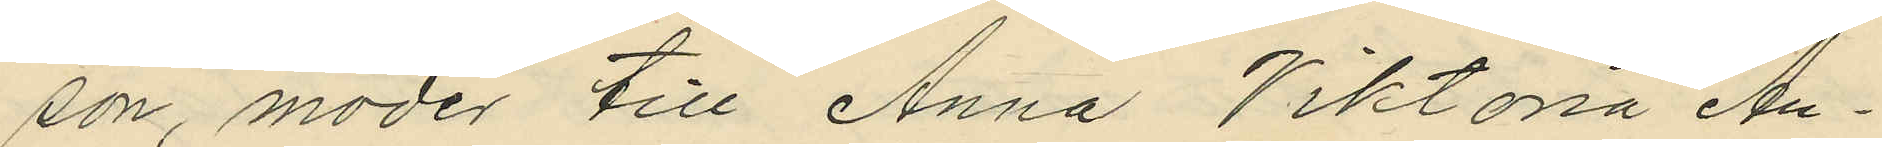son, moder till Anna Viktora An¬
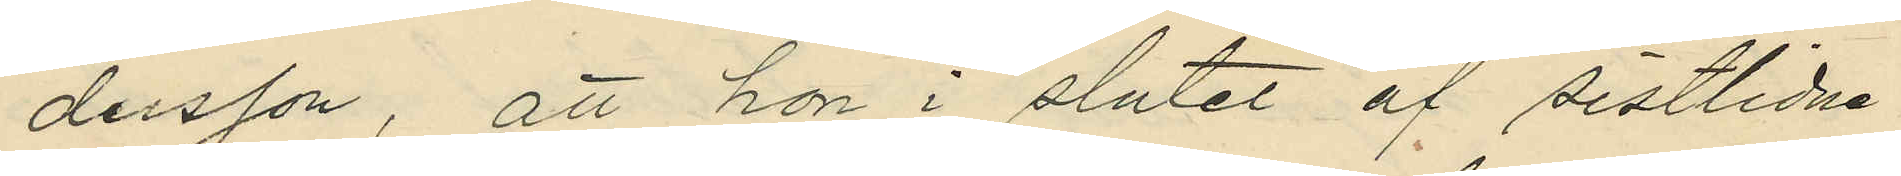dersson, att hon i slutet af sistlidne
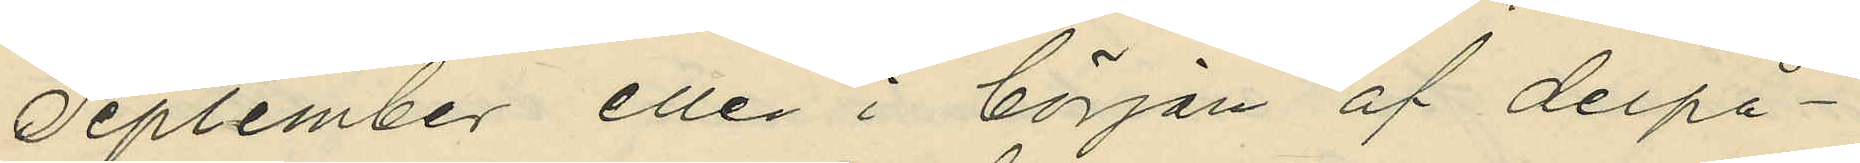September eller i början af derpå¬
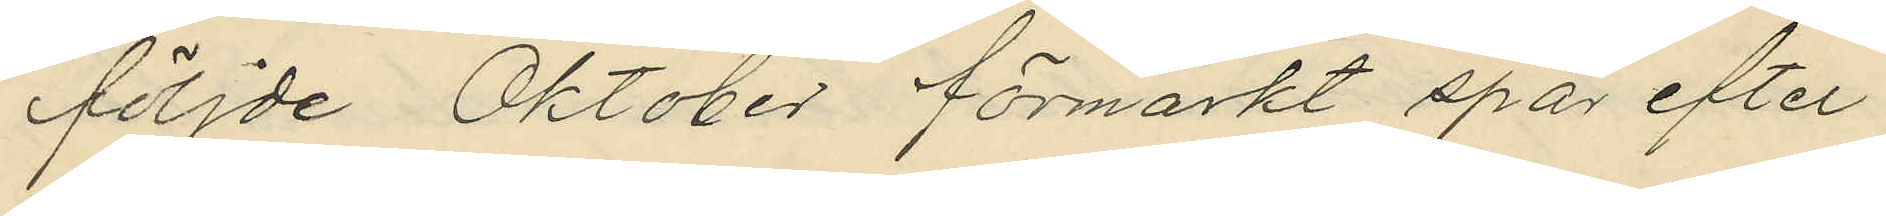följde Oktober förmärkt spår efter
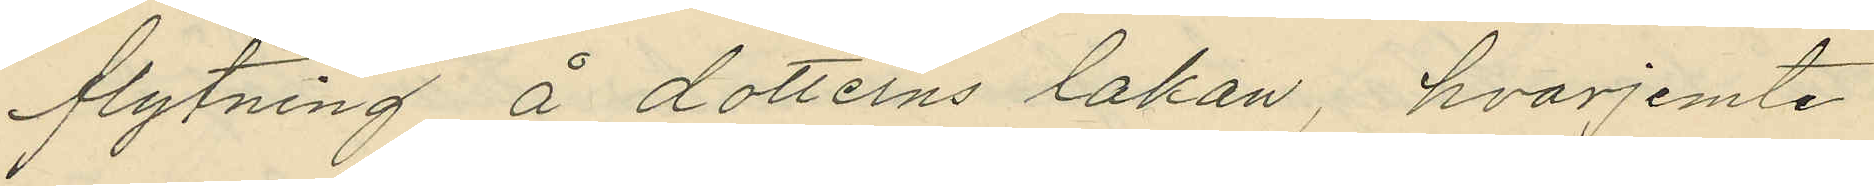flytning å dotterns lakan, hvarjemte
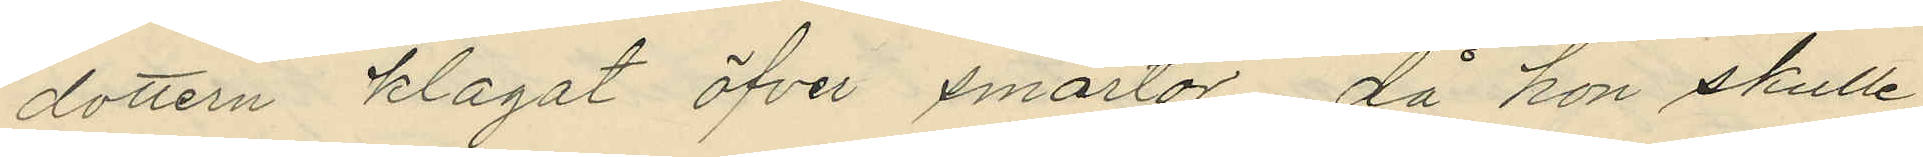dottern klagat öfver smärtor, då hon skulle
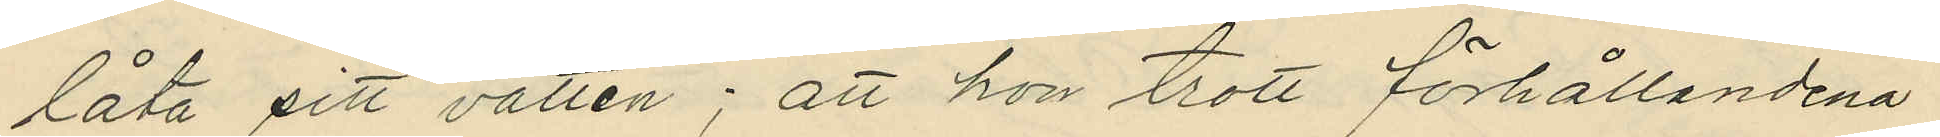låta sitt vatten; att hon trott förhållandena
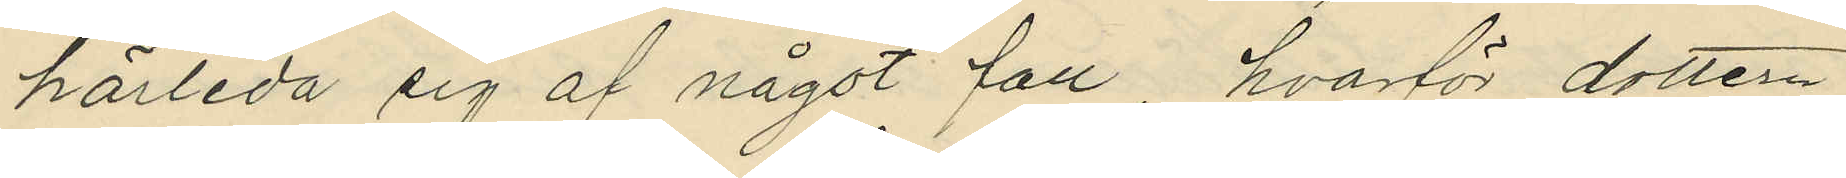härleda sig af något fall, hvarför dottern
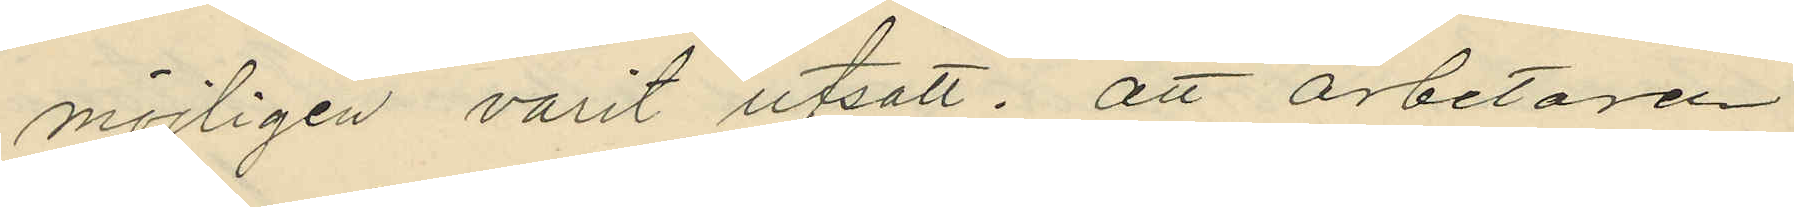möjligen varit utsatt: att arbetaren
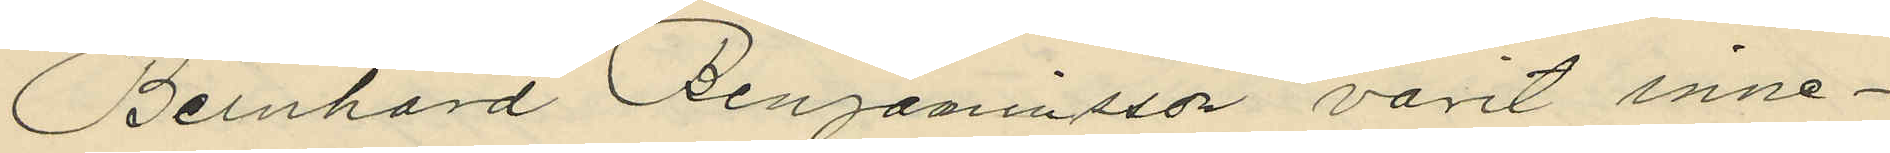Bernhard Benjaminsson varit inne¬
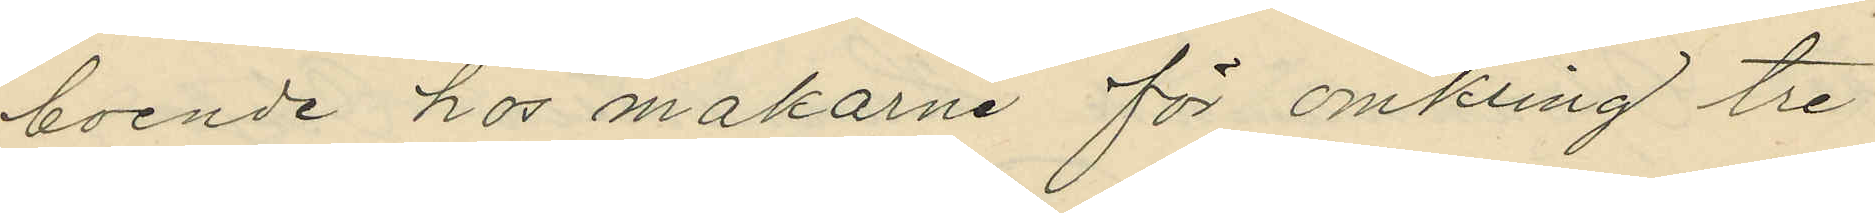boende hos makarne för omkring tre
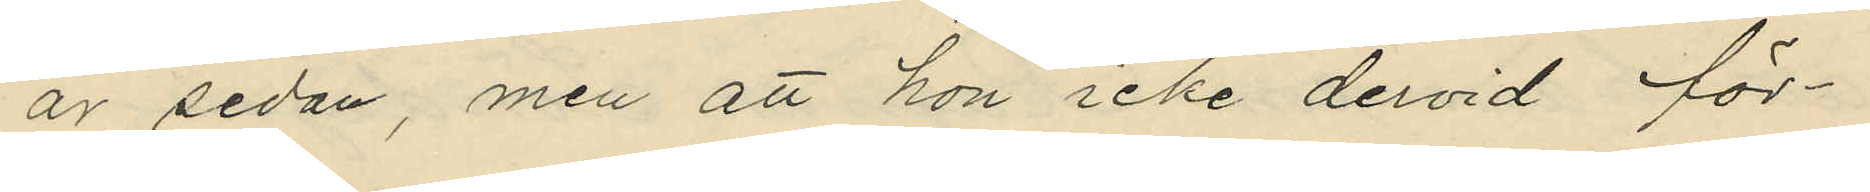år sedan, men att hon icke dervid för¬
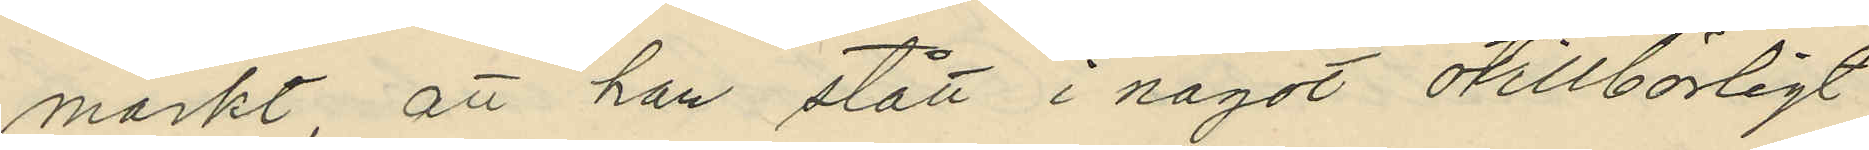märkt, att han stått i något otillbörligt
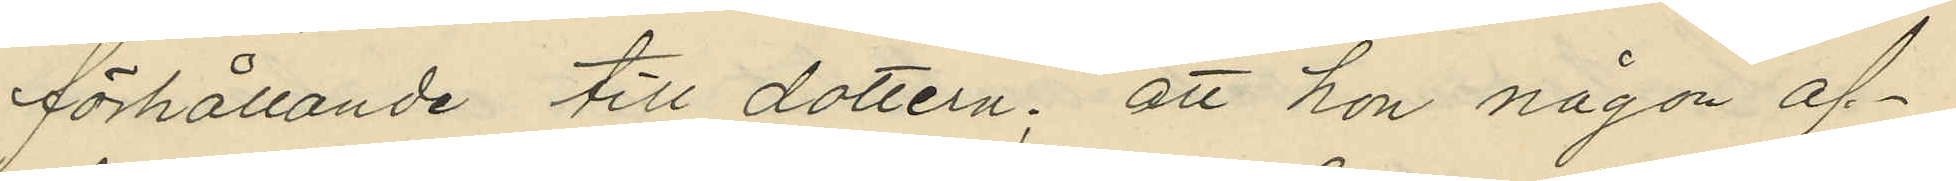förhållande till dottern; att hon någon af¬
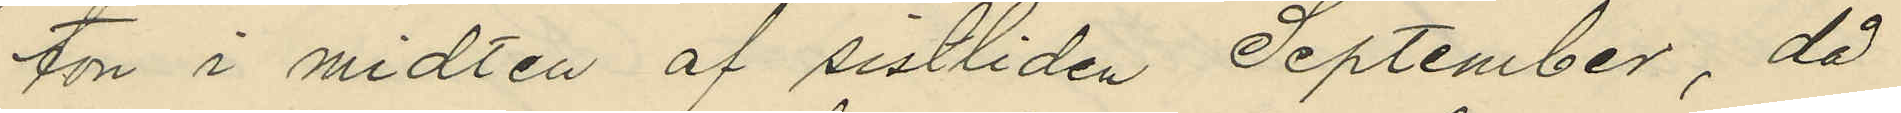ton i midten af sistliden September, då
